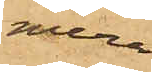mer¬
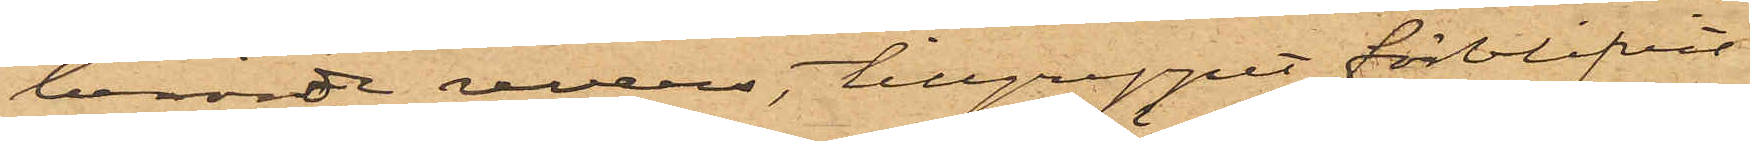berörde revers, tillgreppet förblifvit
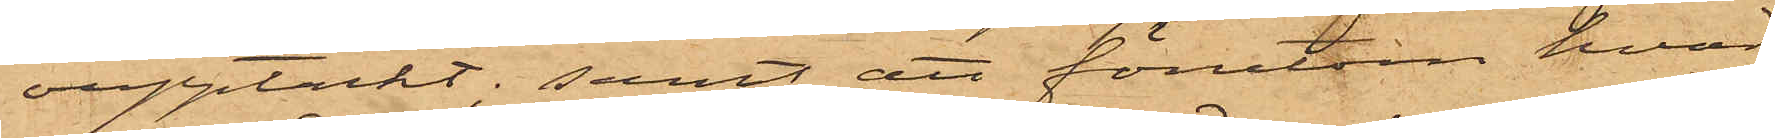oupptäckt; samt att förutom hvad
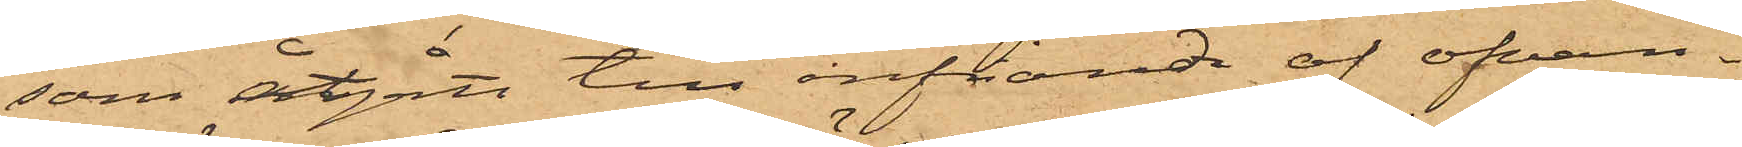som åtgått till infriande af ofvan¬
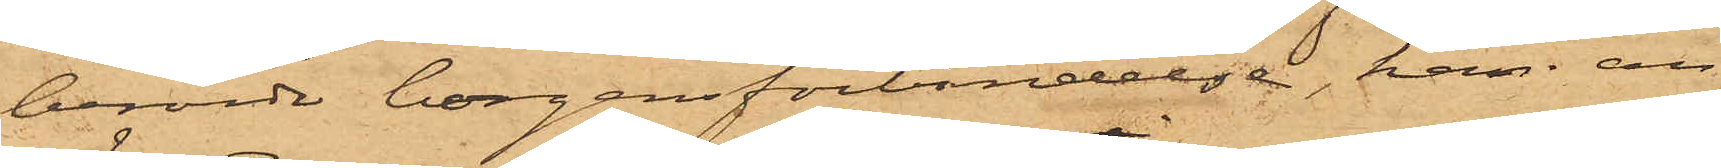berörde borgensförbindelse, han an¬
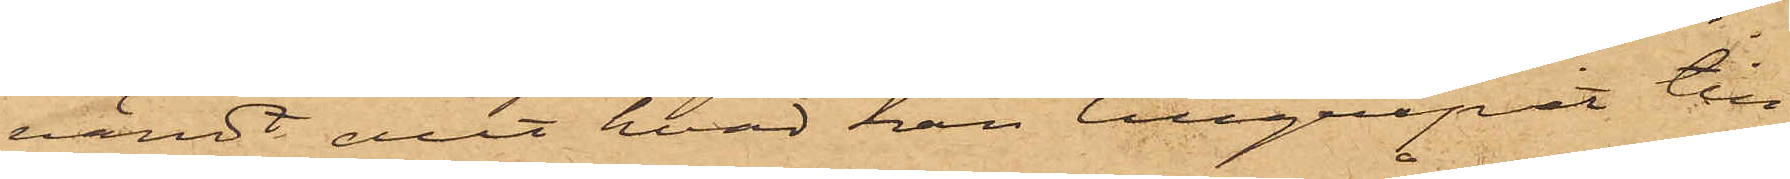vändt allt hvad han tillgripit till
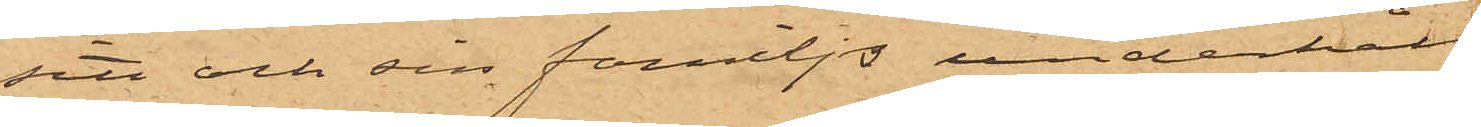sin och sin familjs underhåll.
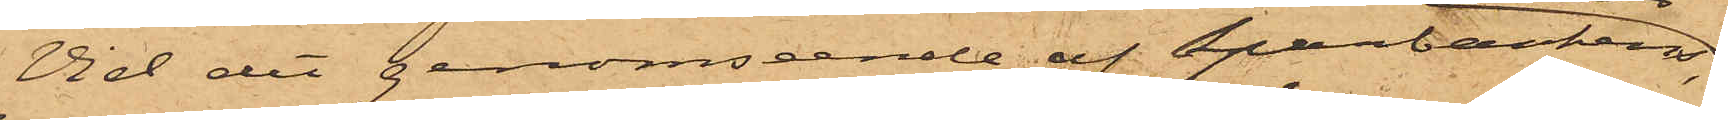Vid det genomseende af Sparbankens
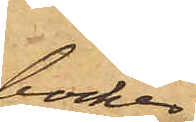böcker,
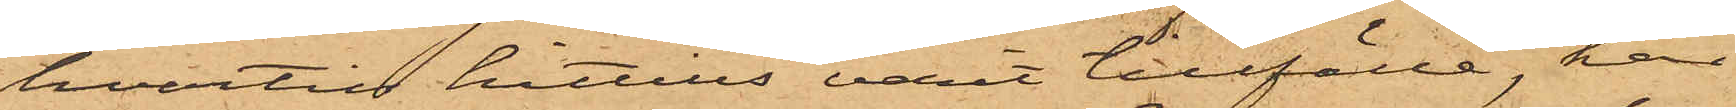hvartill hittills varit tillfälle, har
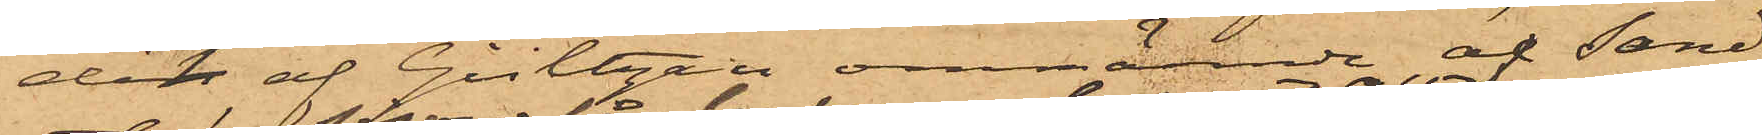det af Gültzau omnämnde, af Sand¬
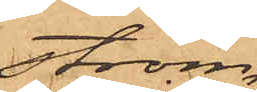ström
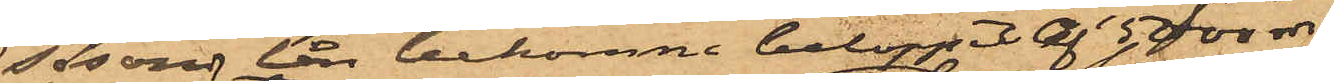såsom lån bekomne beloppet af 5000 rdr
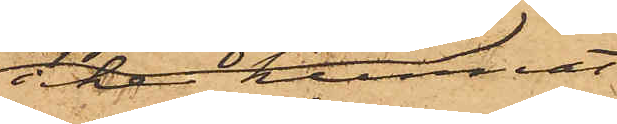icke kunnat
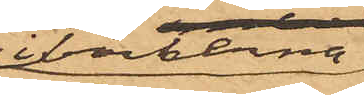i böckerna
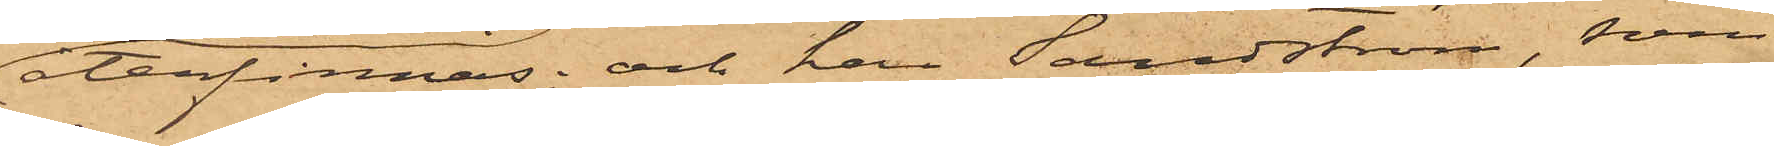återfinnas; och har Sandström, som
